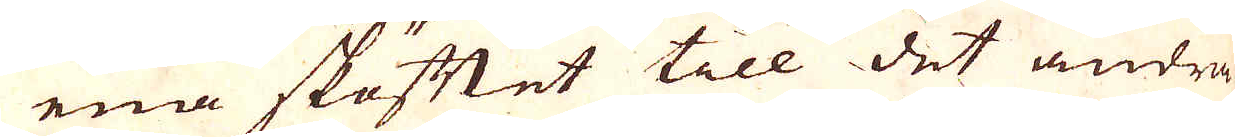ena sköftet till det andra
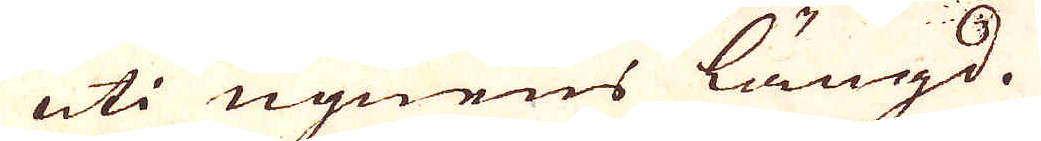uti ugnens längd.
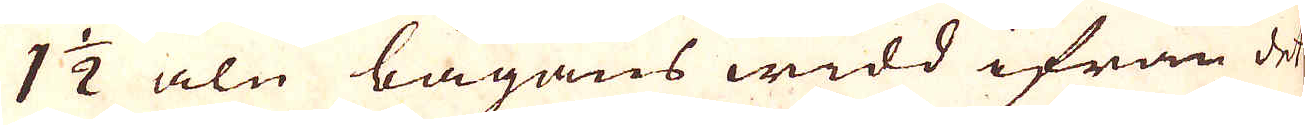1 1/2 aln bågans widd ifrån det
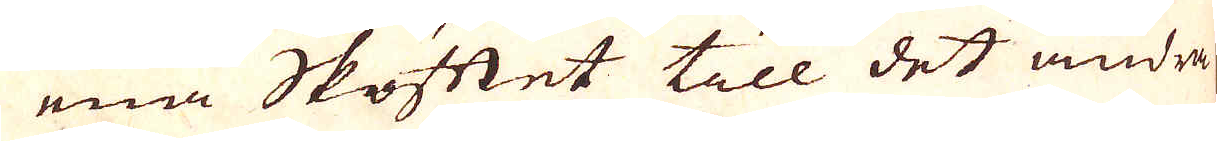ena Skåttet till det andra
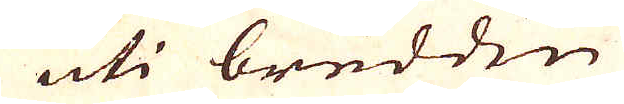uti bredden
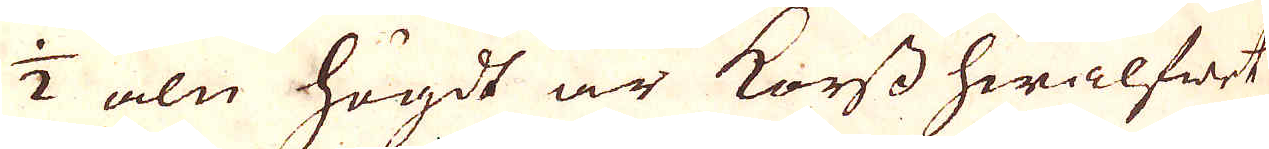1/2 aln högdt är Korss hwalfwet
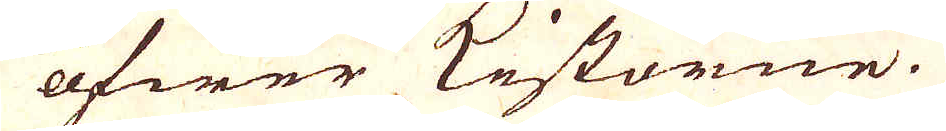öfwer Kistorne.
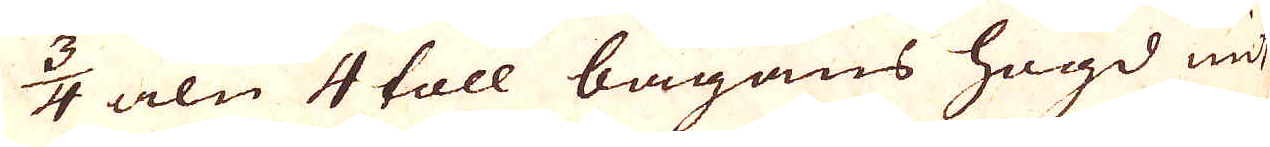3/4 aln 4 toll bågans högd mit
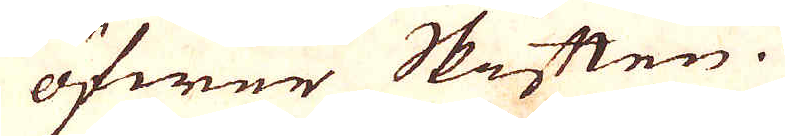öfwer Skåtten.
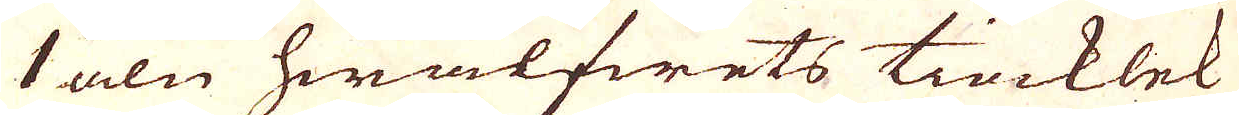1 aln hwalfwets tiocklek
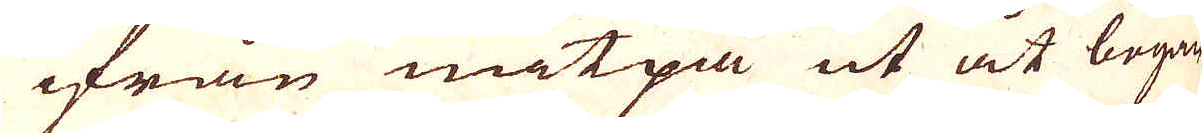ifrån mitpå ut åt bogan
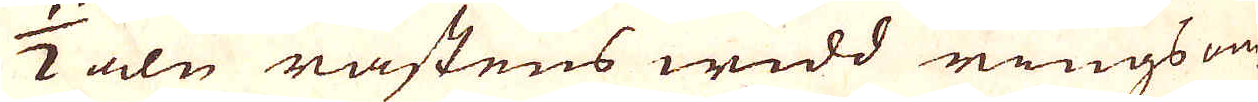1/2 aln rästens widd ringsom-
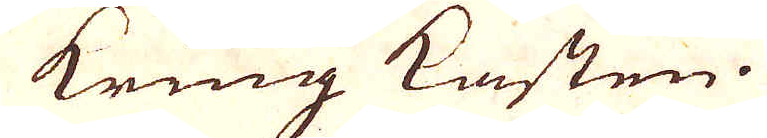kring kasten.
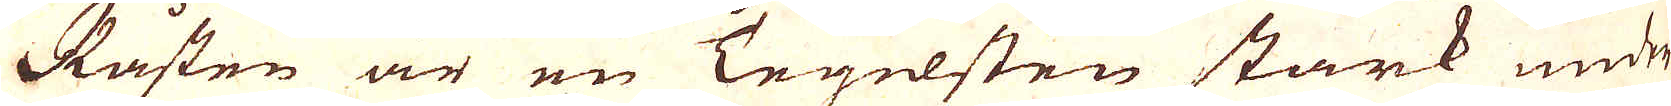Råsten är en Tegelsten stark under
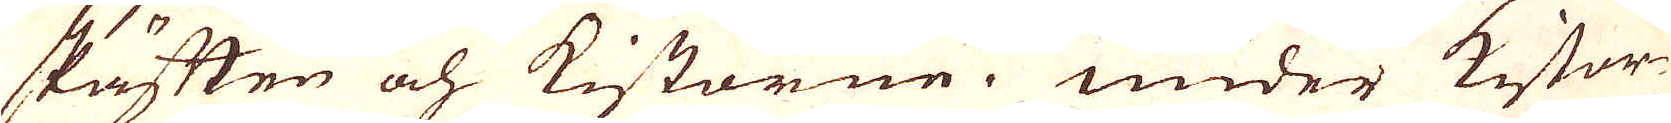skäften och Kistorne. Under Kistor-
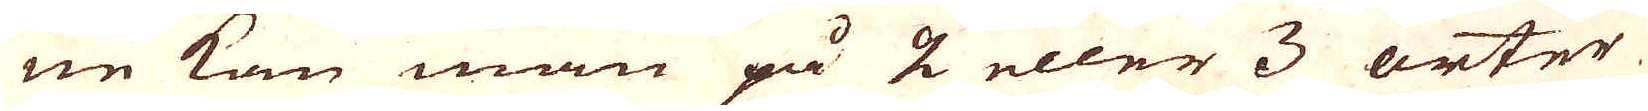ne kan man på 2 eller 3 orter
